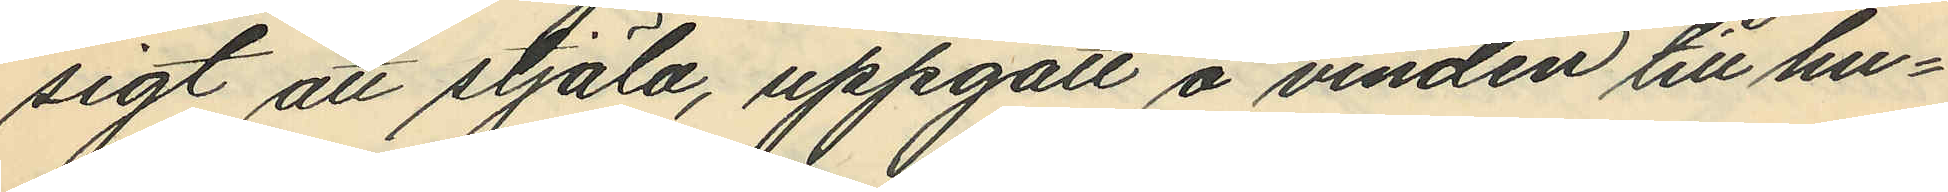sigt att stjäla, uppgått å vinden till hu¬
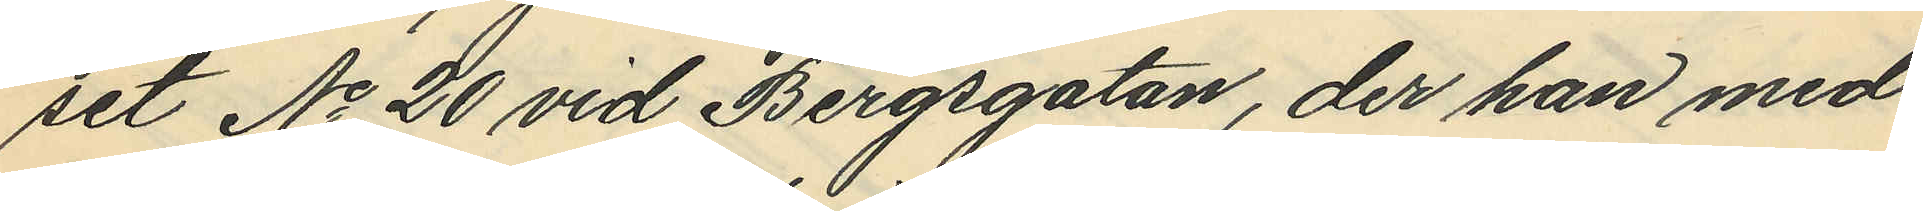set No 20 vid Bergsgatan, der han med
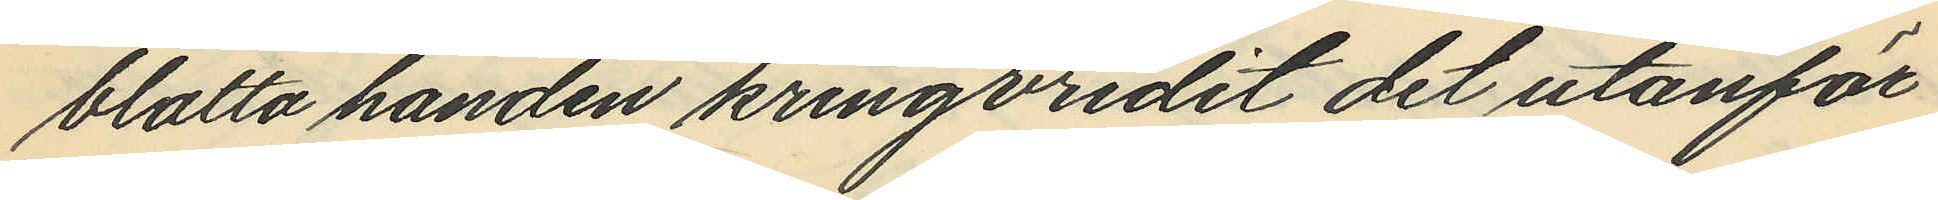blotta handen kringvridit det utanför
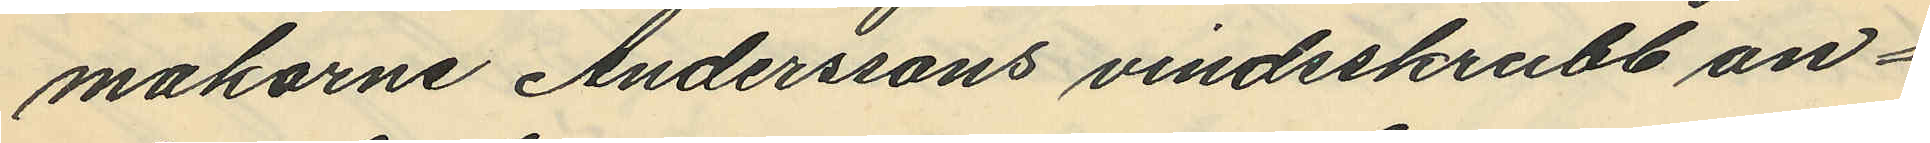makarne Anderssons vindsskrubb an¬
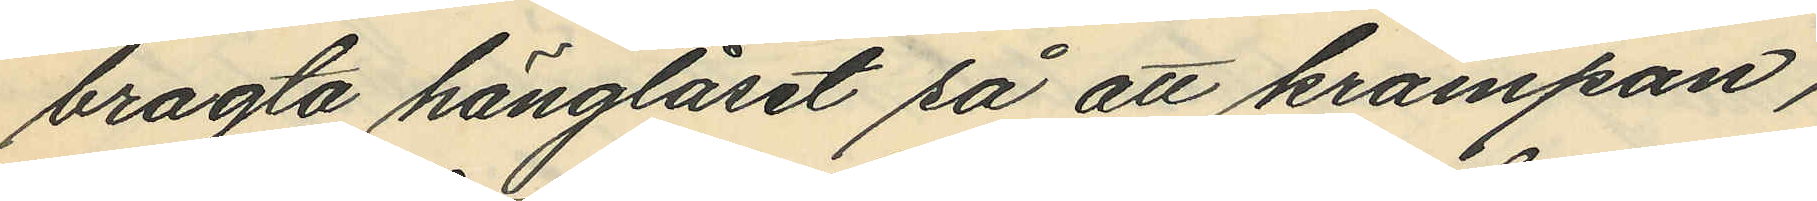bragta hänglåset så att krampan,
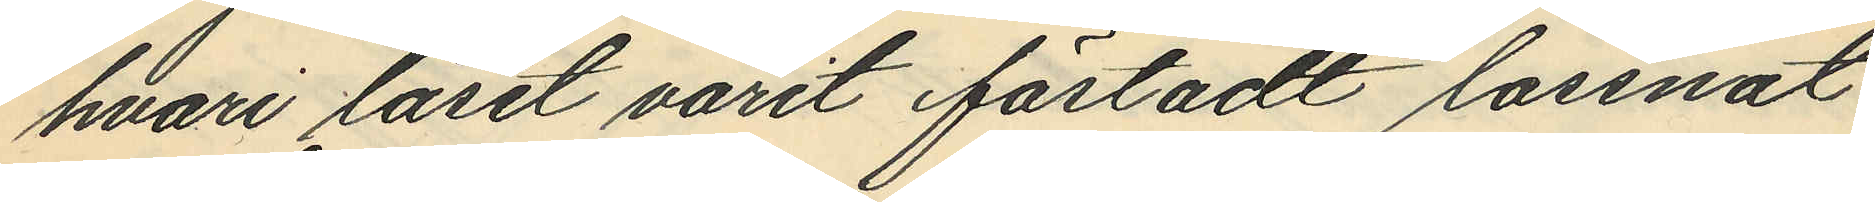hvari låset varit fästadt lossnat
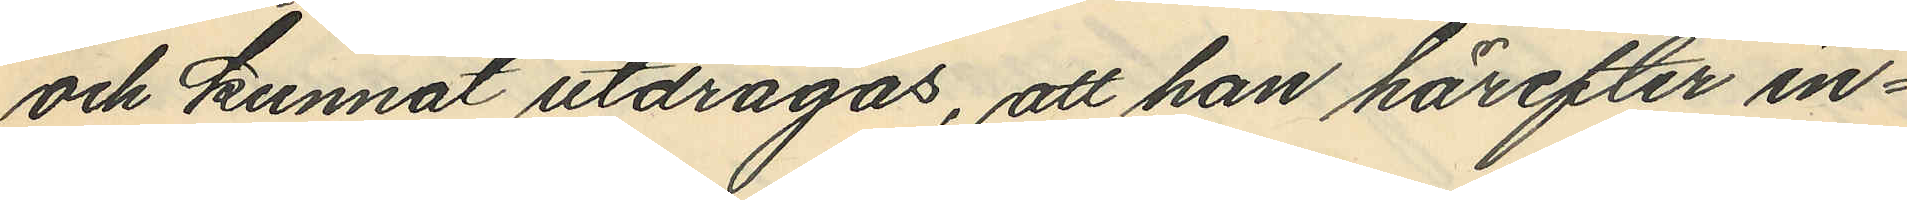och kunnat utdragas, att han härefter in¬
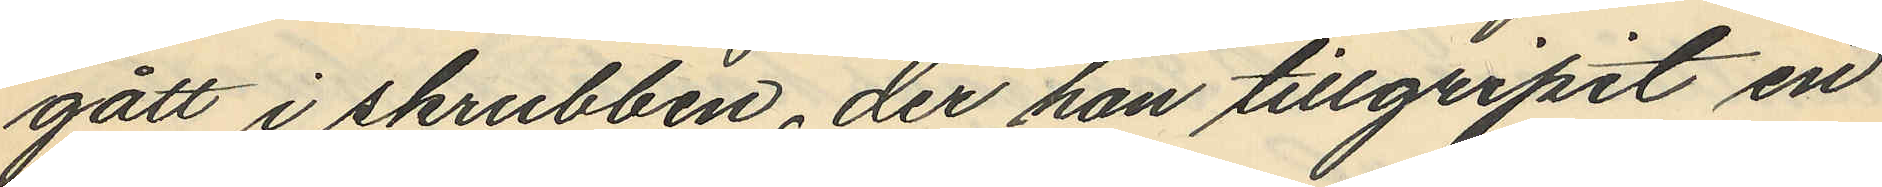gått i skrubben, der han tillgripit en
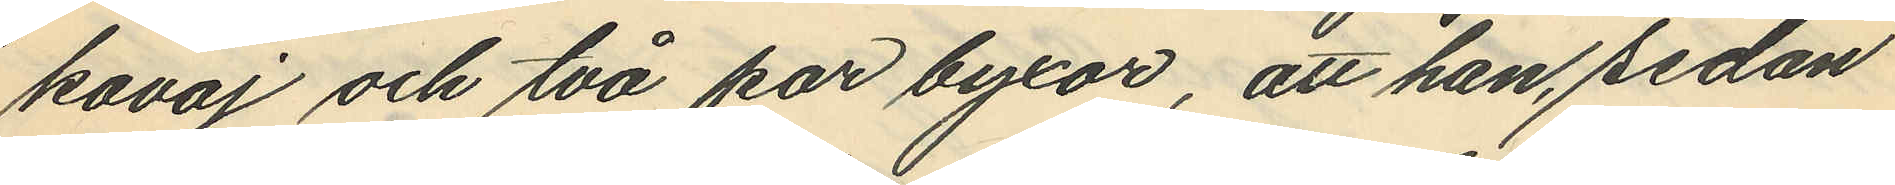kavaj och två par byxor, att han, sedan
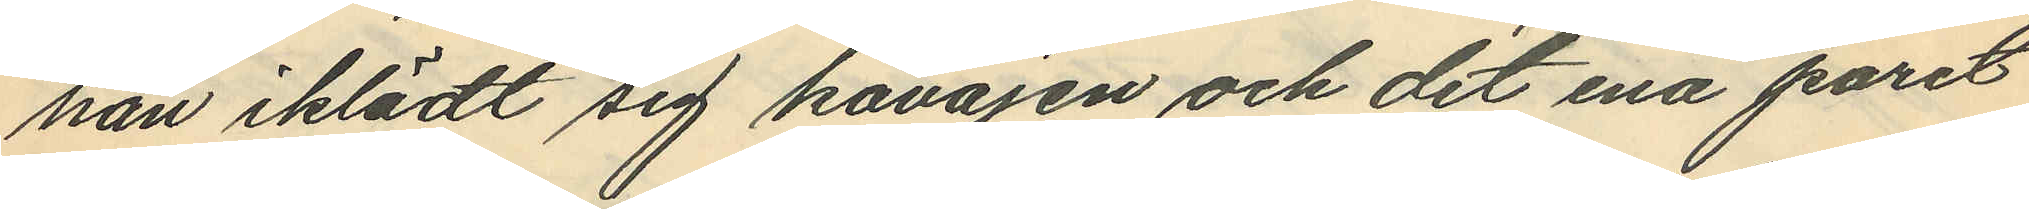han iklädt sig kavajen och det ena paret
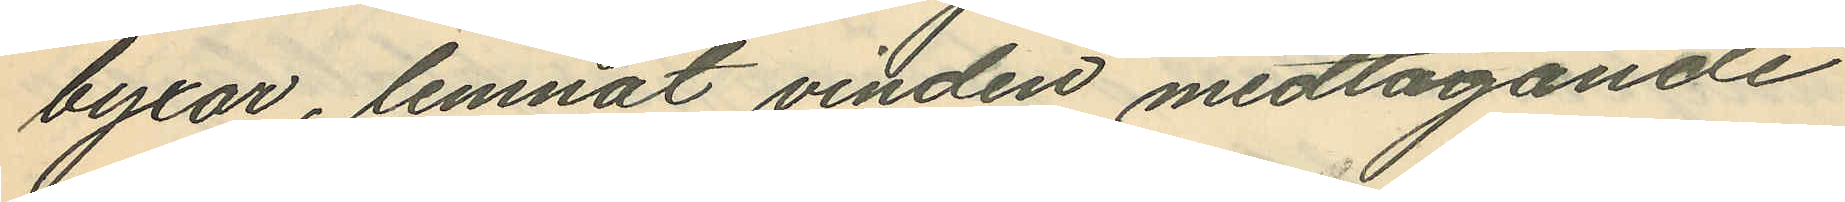byxor, lemnat vinden medtagande
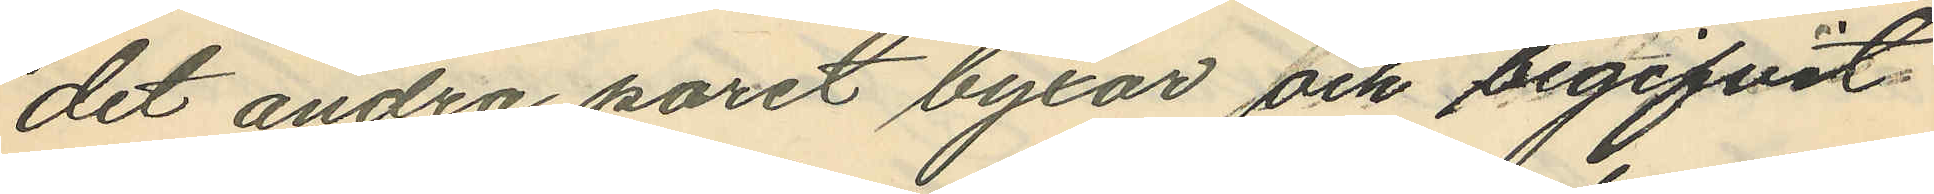det andra paret byxor och begifvit
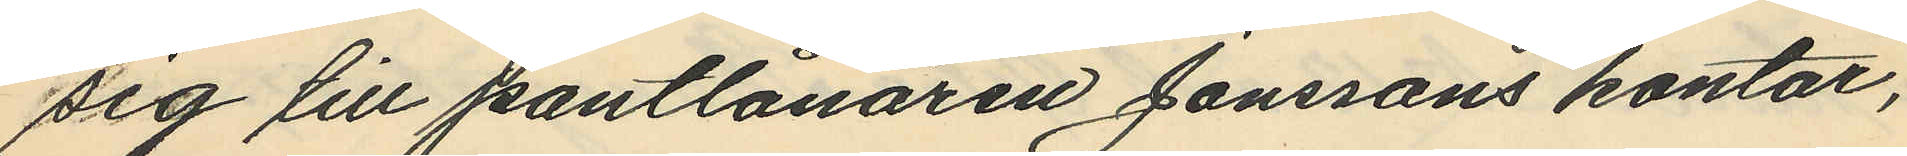sig till pantlånaren Jonssons kontor,
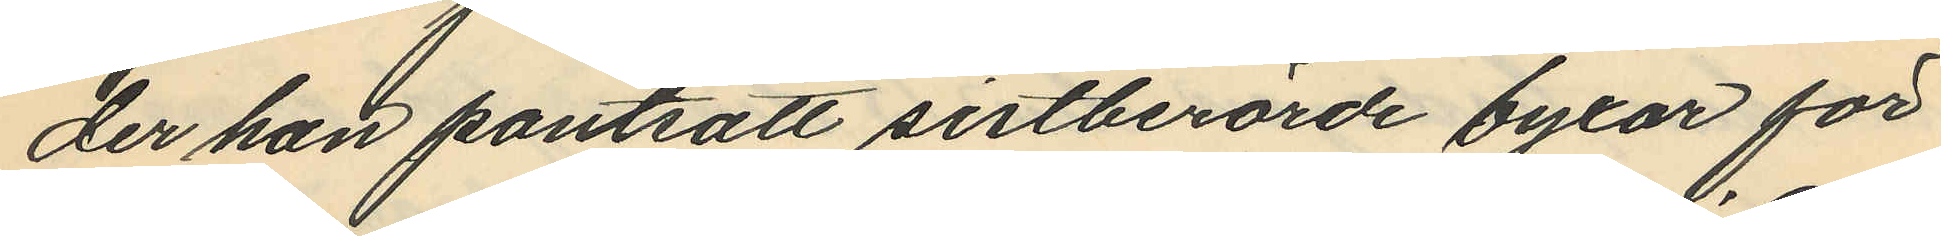der han pantsatt sistberörde byxor för
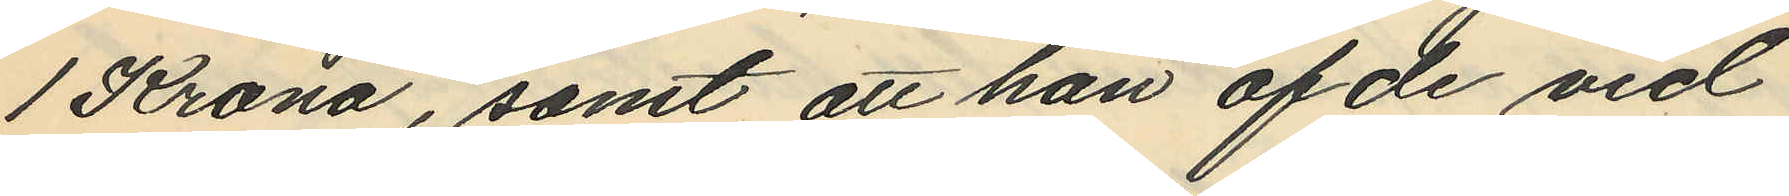1 Krona, samt att han af de vid
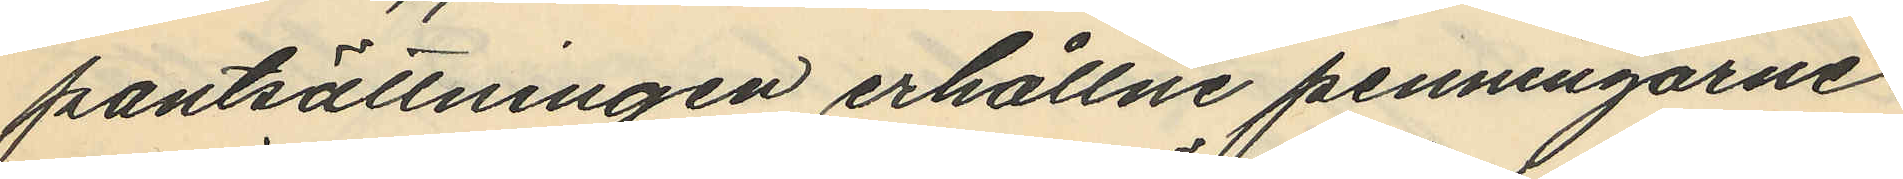pantsättningen erhållne penningarne
